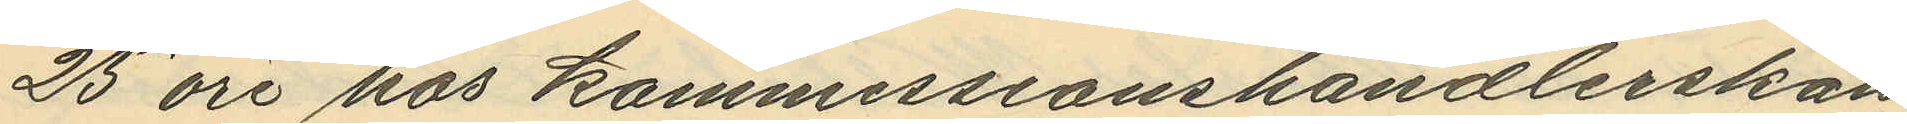25 öre hos kommissionshandlerskan
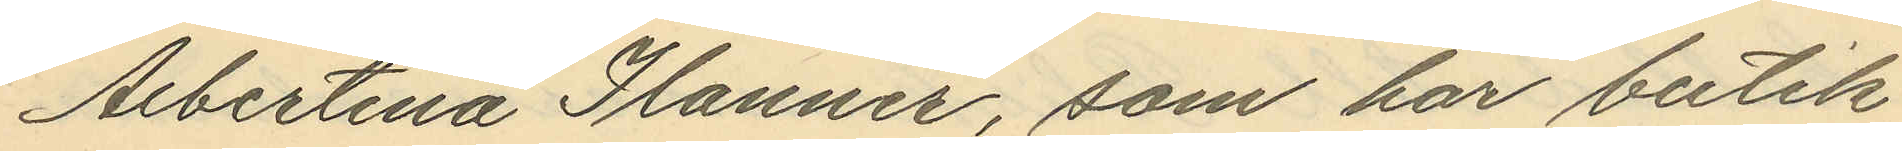Albertina Ilanner, som har butik
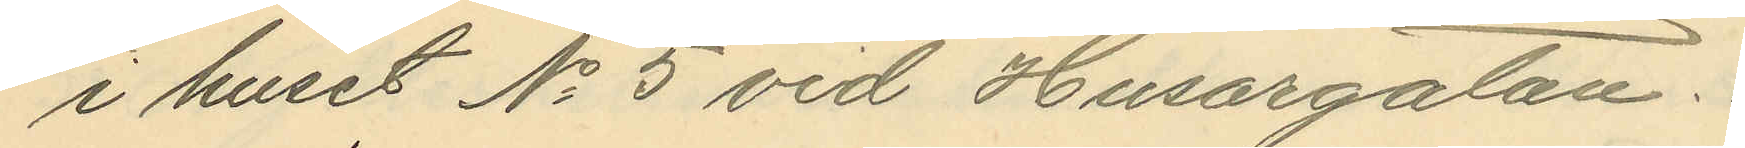i huset No 5 vid Husargatan.
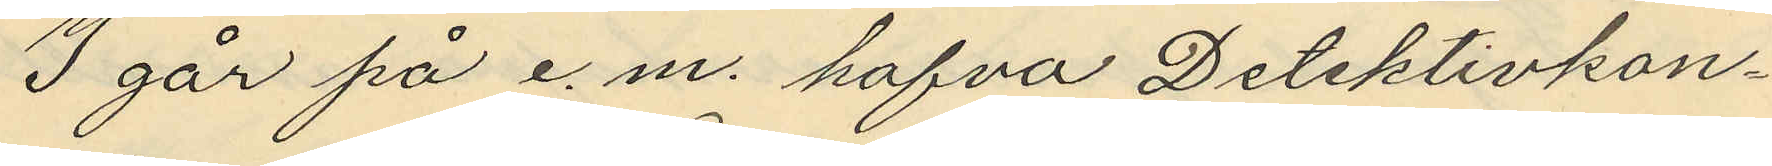3 går på e.m. hafva Detektivkon¬
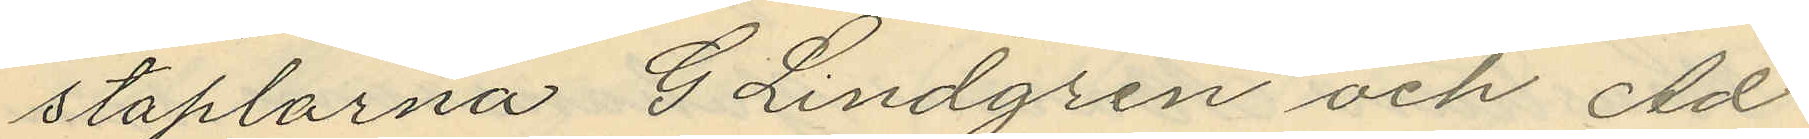staplarna G. Lindgren och Ad
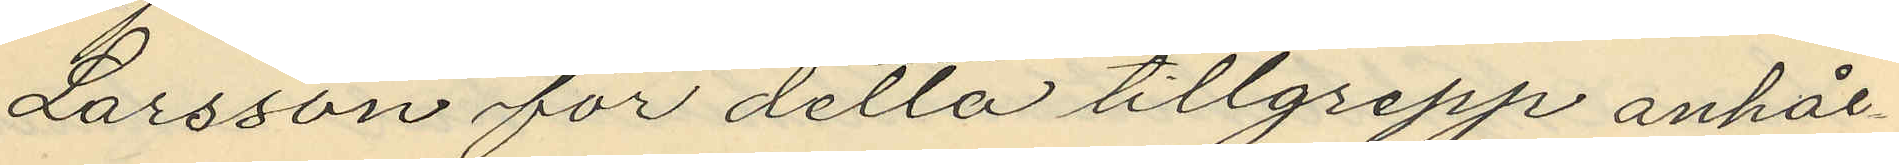Larsson för detta tillgrepp anhål¬
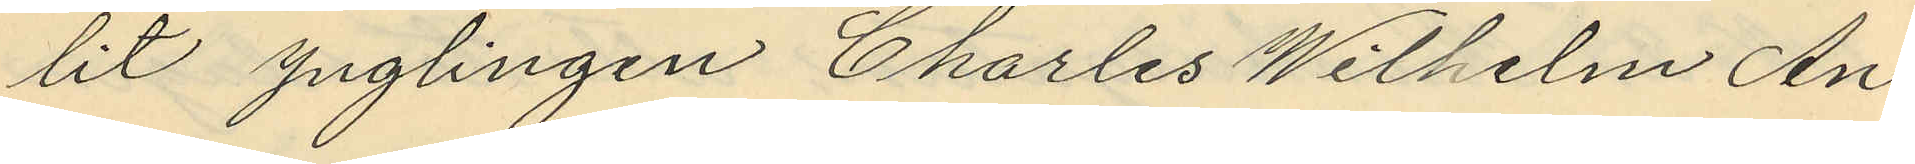lit ynglingen Charles Wilhelm An¬
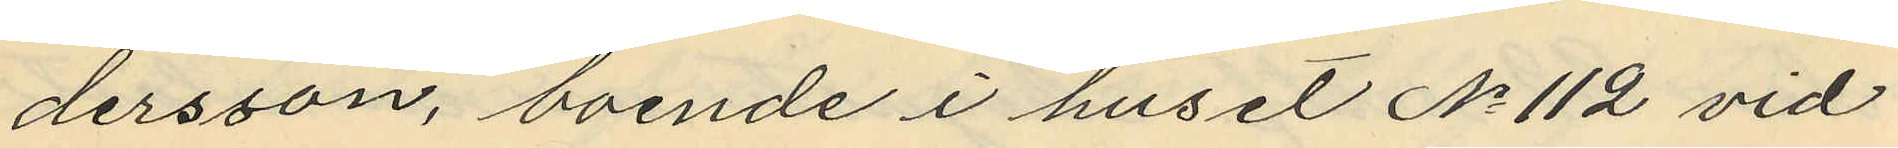dersson, boende i huset No 112 vid
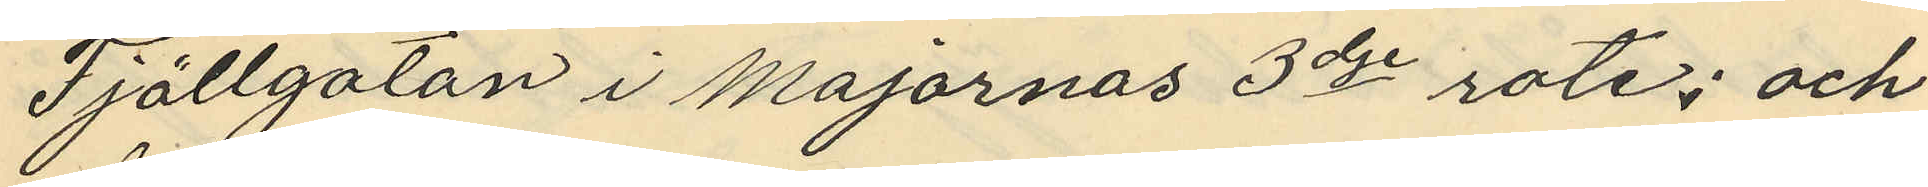Fjällgatan i Majornas 3dje rote; och
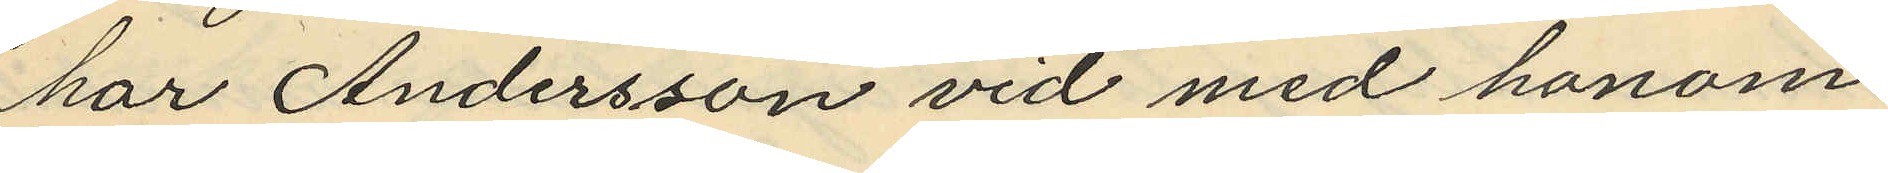har Andersson vid med honom
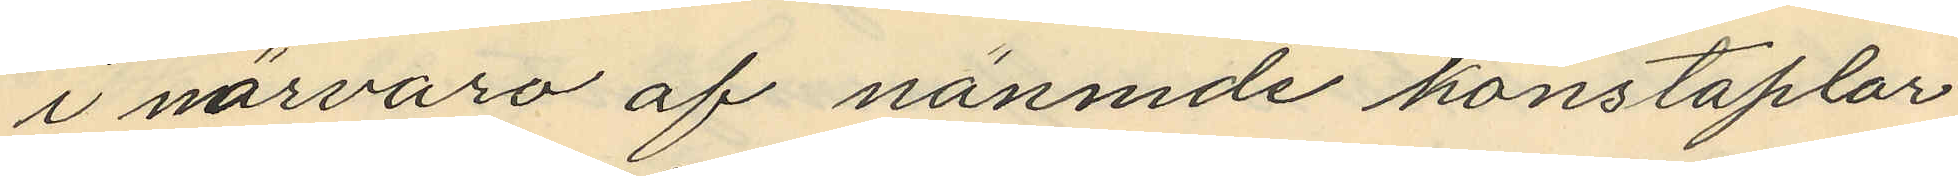i närvaro af nämnde konstaplar
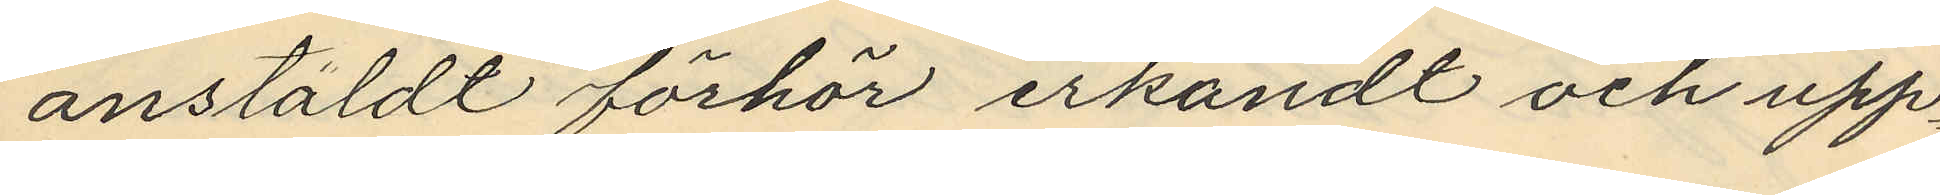anstäldt förhör erkändt och upp¬
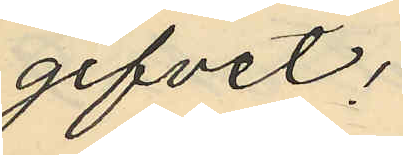gifvet;
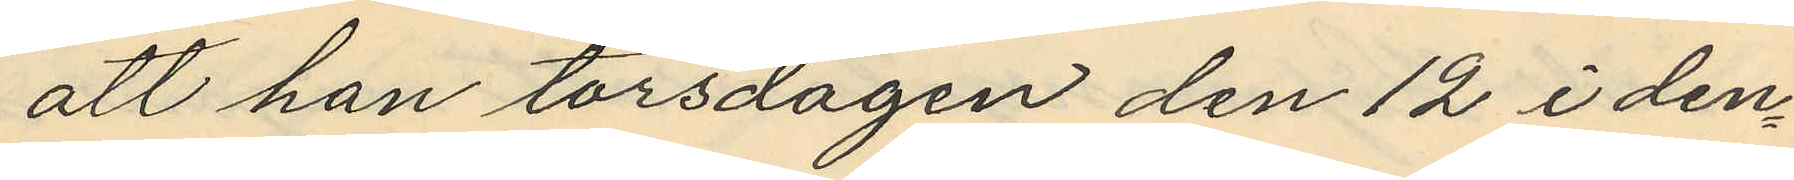att han torsdagen den 12 i den¬
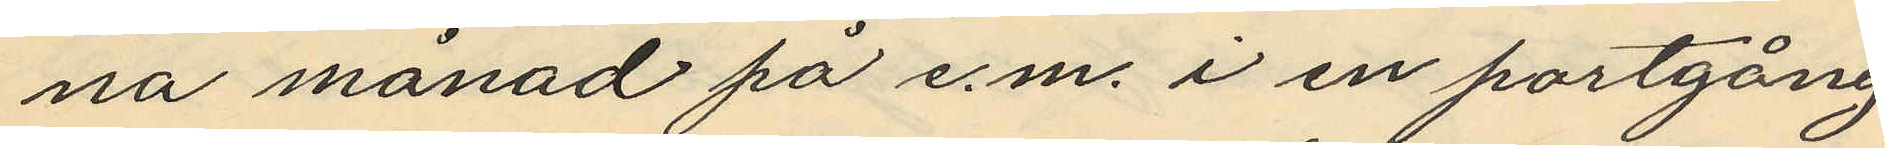na månad på e.m. i en portgång
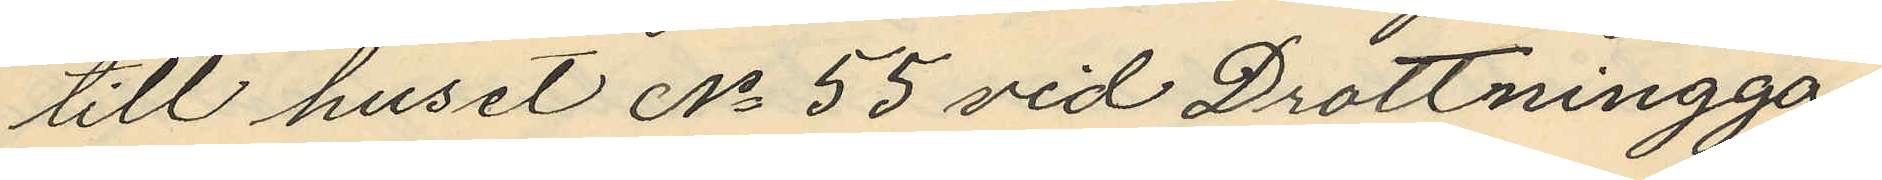till huset No 55 vid Drottningga¬
